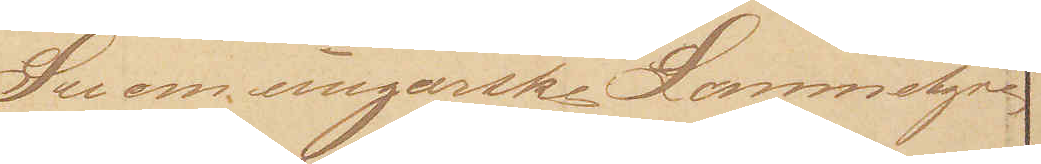See om ungarske Lommetyve
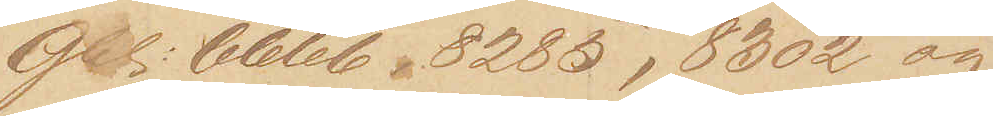Gbl: 6666, 8285, 8302 og 
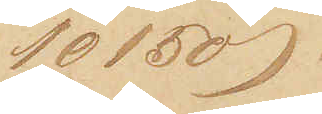10150.
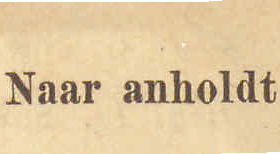Naar anholdt
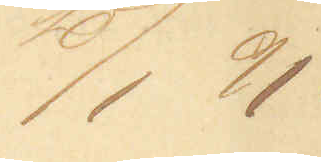10/1 91
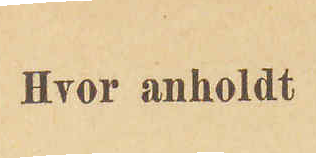Hvor anholdt
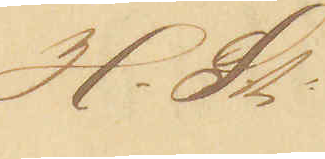H-St:
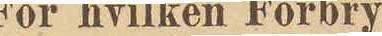For hvilken Forbry¬
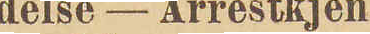delse - Arrestkjen¬
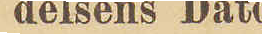delsens Dat
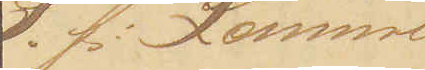S.f: Lomme¬
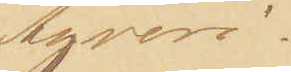tyveri.
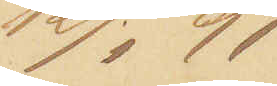12/1 91
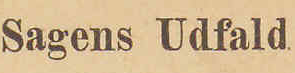Sagens Udfald
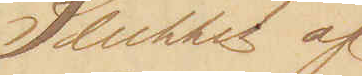Sluttet af
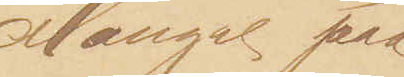Mangel paa
